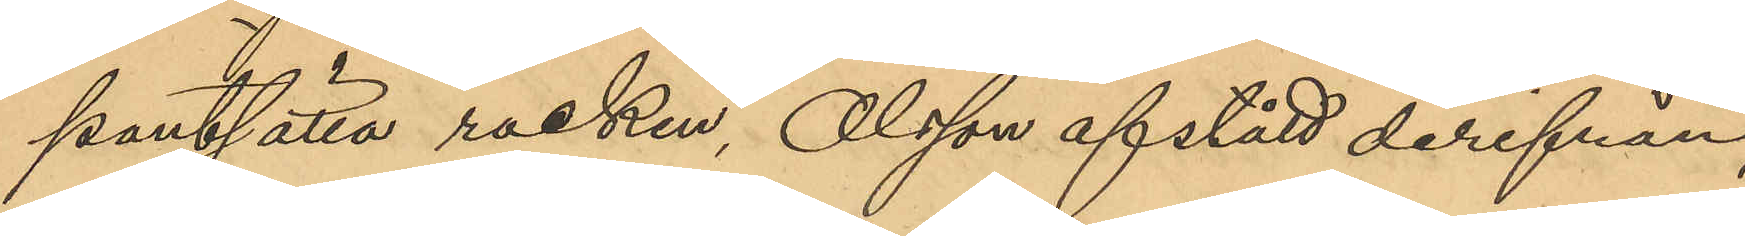pantsätta rocken, Olsson afstått derifrån,
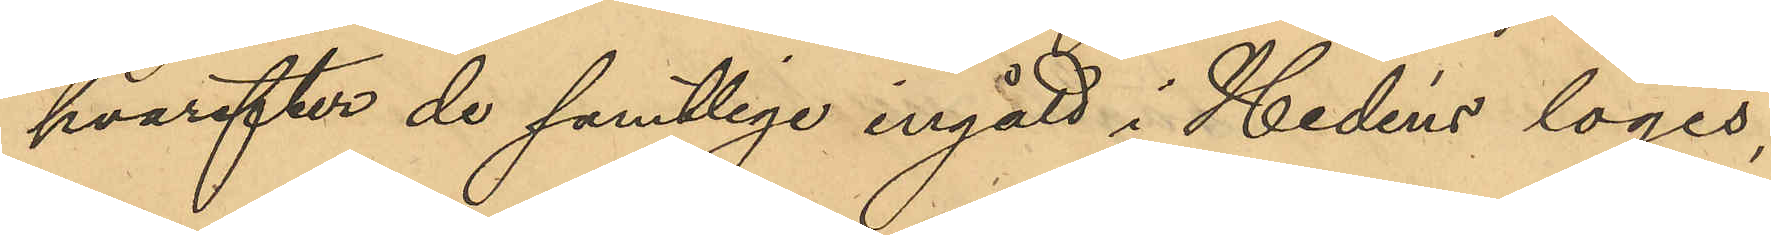hvarefter de samtlige ingått i Hedéns logis;
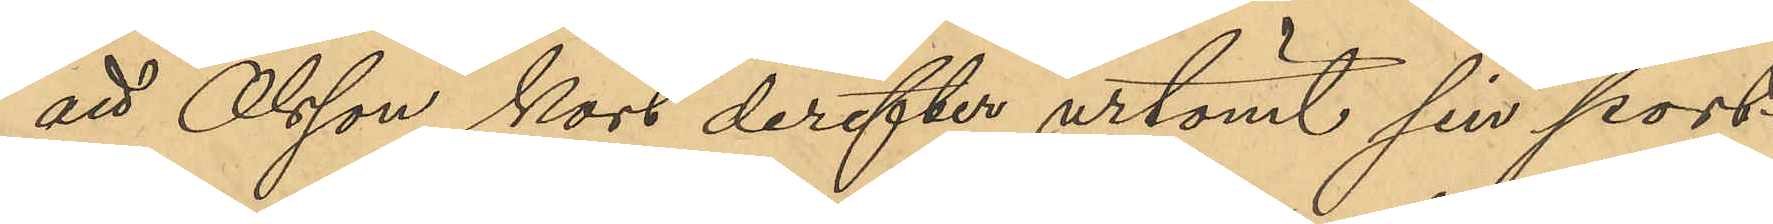att Olsson kort derefter urtömt sin port¬
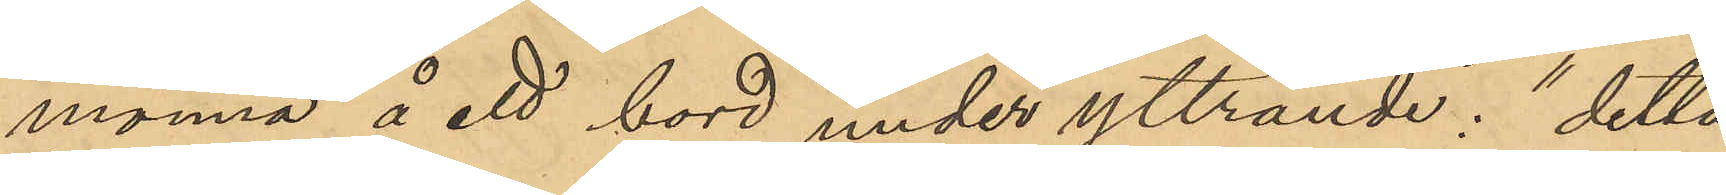monnä å ett bord under yttrande: "detta
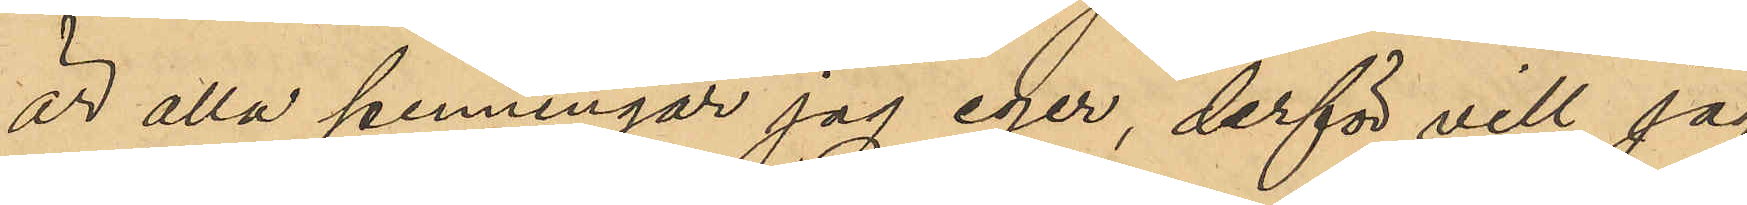är alla penningar jag eger, derför vill jag
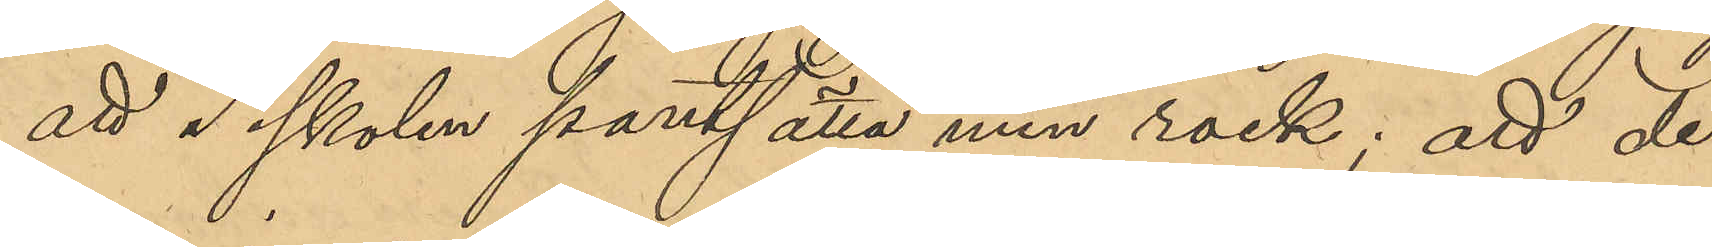att I skolen pantsätta min rock; att de
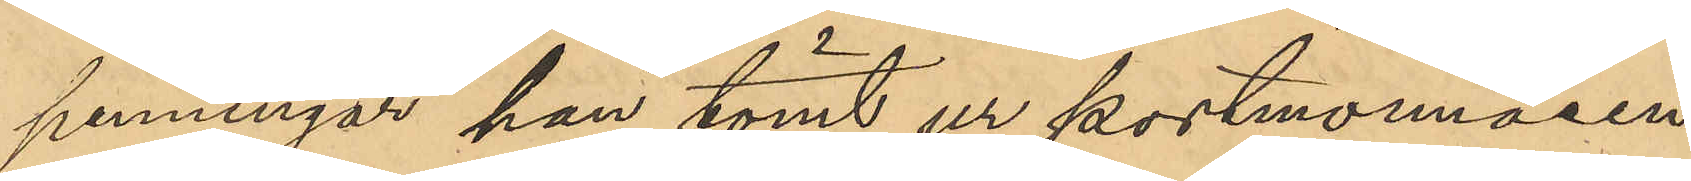penningar han tömt ur portmonnäen
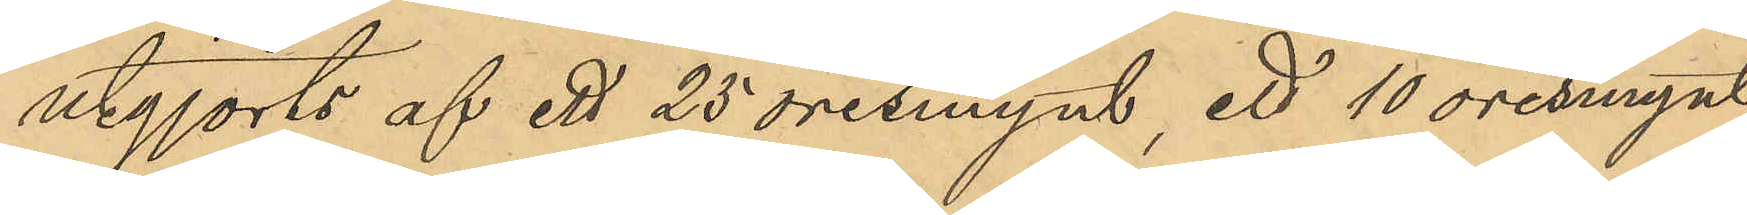utgjorts af ett 25 öresmynt, ett 10 öresmynt,
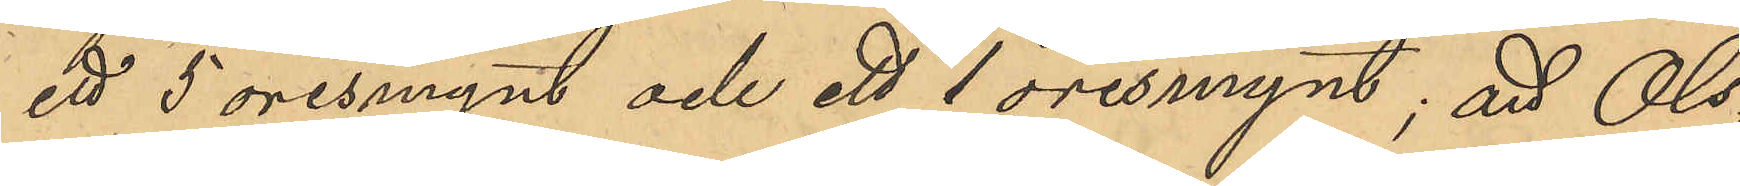ett 5 öresmynt och ett 1 öresmynt; att Ols¬
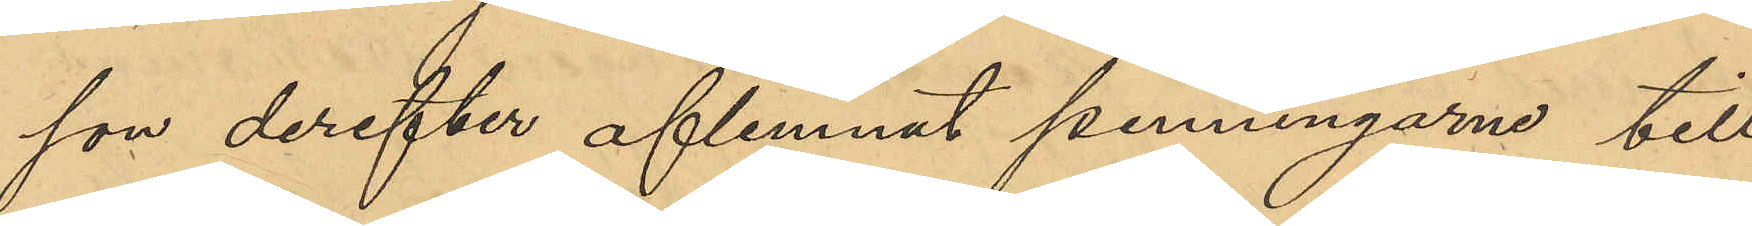son derefter aflemnat penningarne till
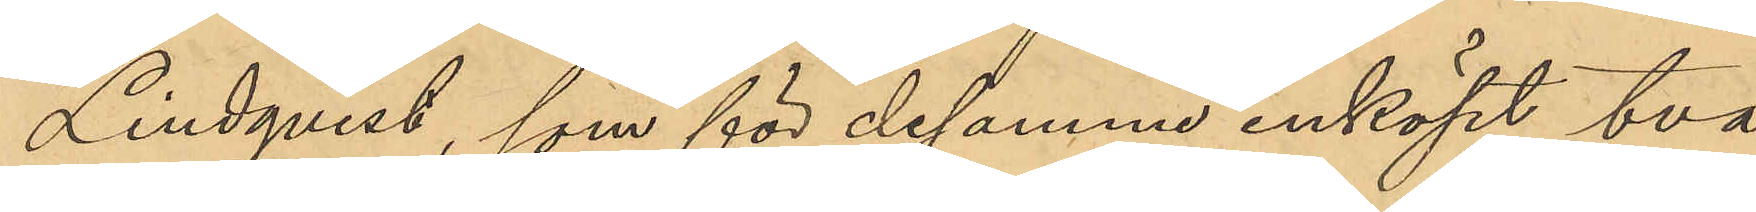Lindqvist, som för desamme inköpt två
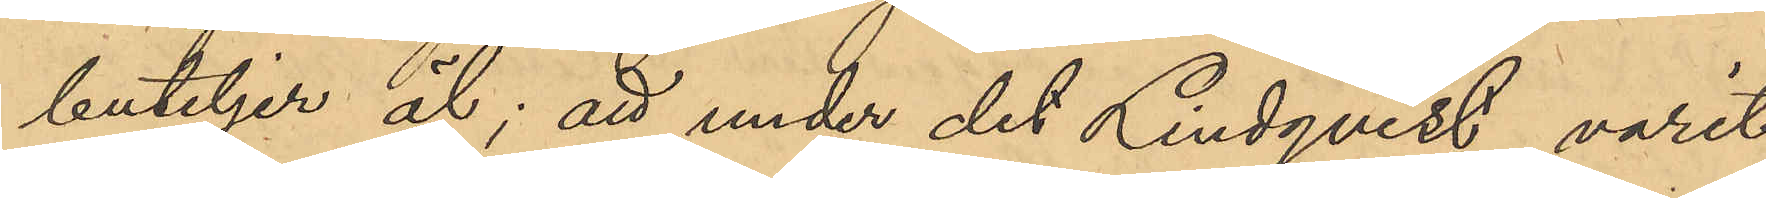buteljer öl; att under det Lindqvist varit
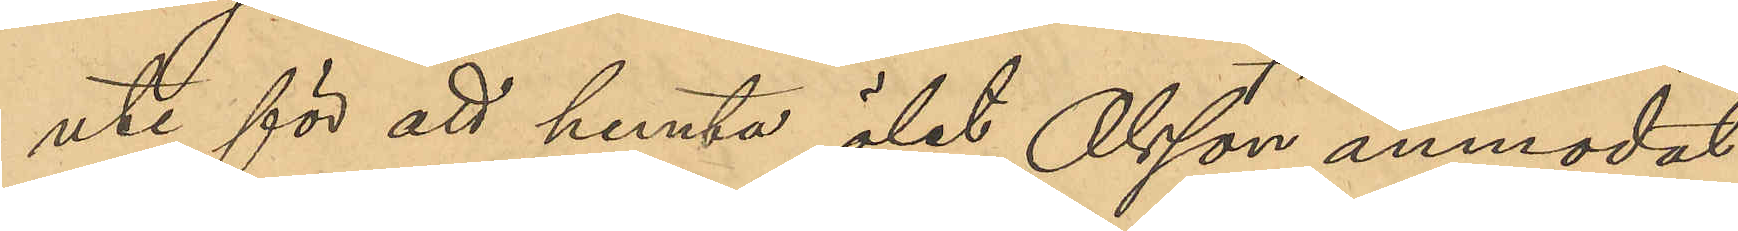ute för att hemta ölet, Olsson anmodat
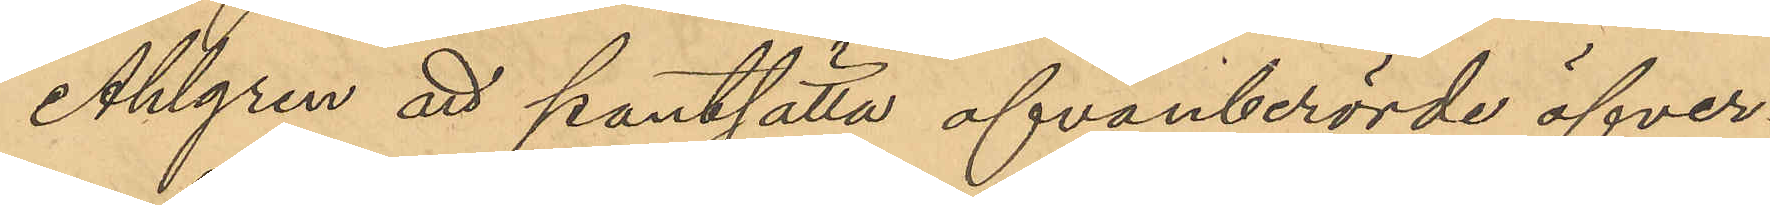Ahlgren att pantsätta ofvanberörde öfver¬
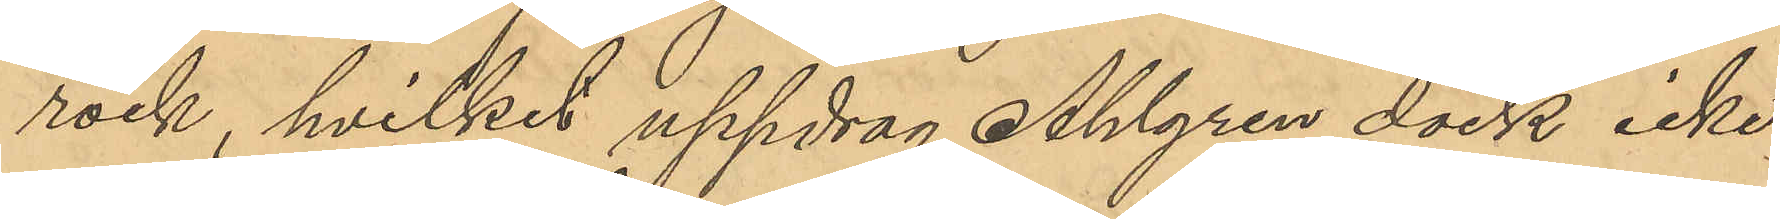rock, hvilket uppdrag Ahlgren dock icke
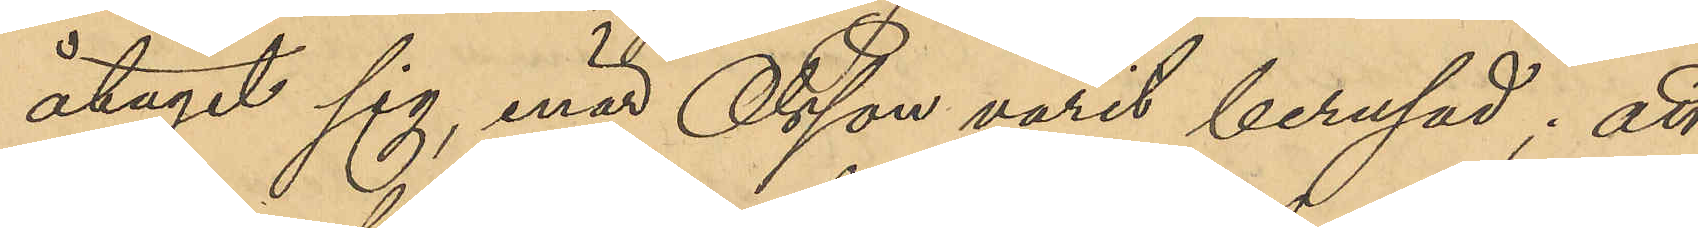åtagit sig, enär Olsson varit berusad; att
